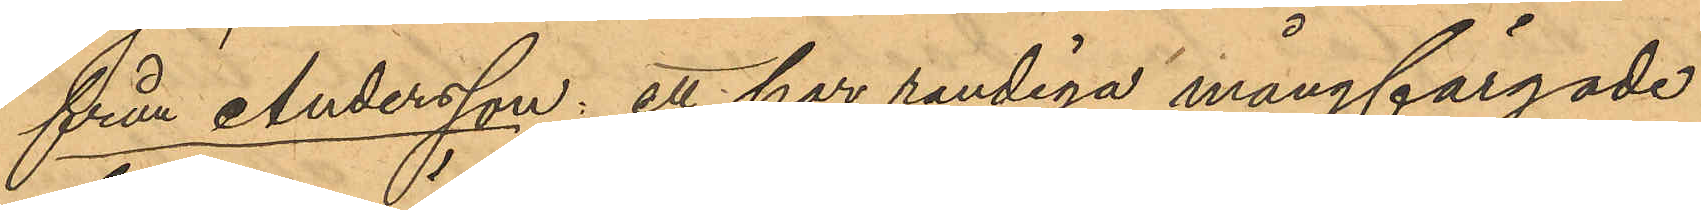från Andersson: ett har randiga mångfärgade
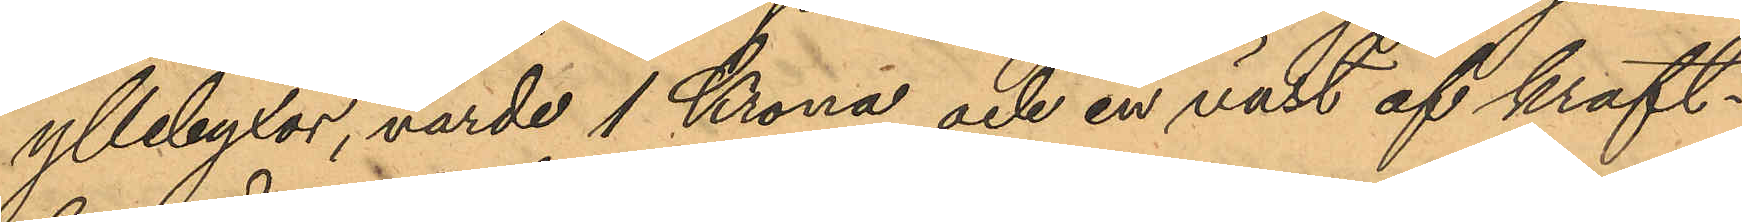yllebyxor, värde 1 Krona och en väst af kraft¬
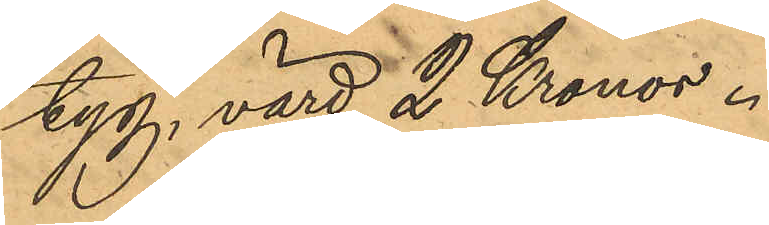tyg, värd 2 Kronor.
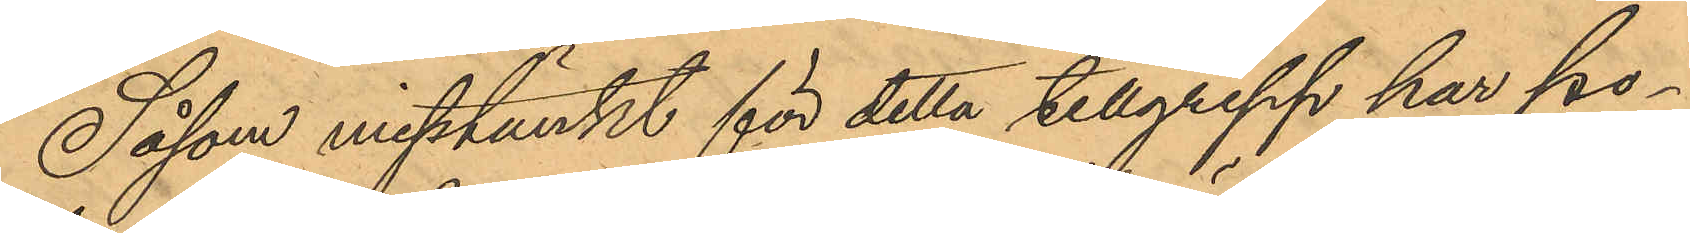Såsom misstänkt för detta tillgrepp har po¬
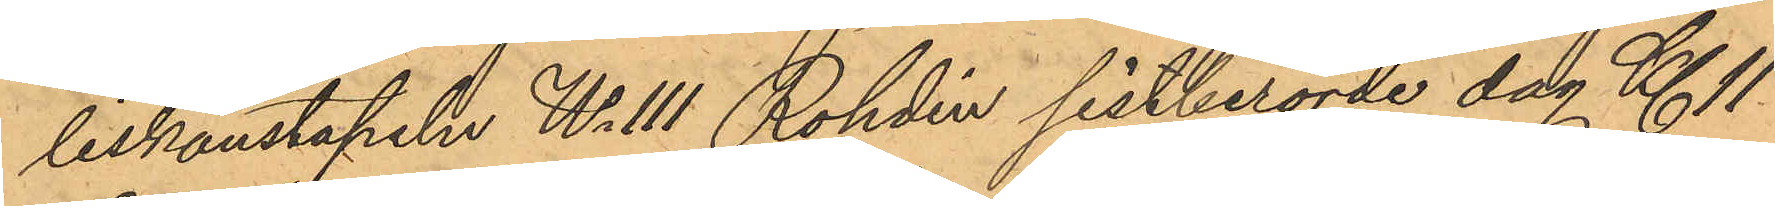liskonstapeln No 111 Rohdin sistberörde dag Kl. 11
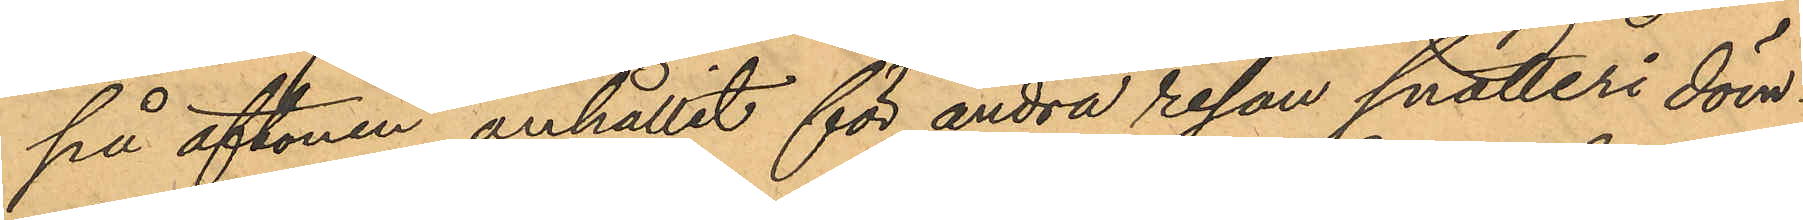på aftonen anhållit för andra resan snatteri döm¬
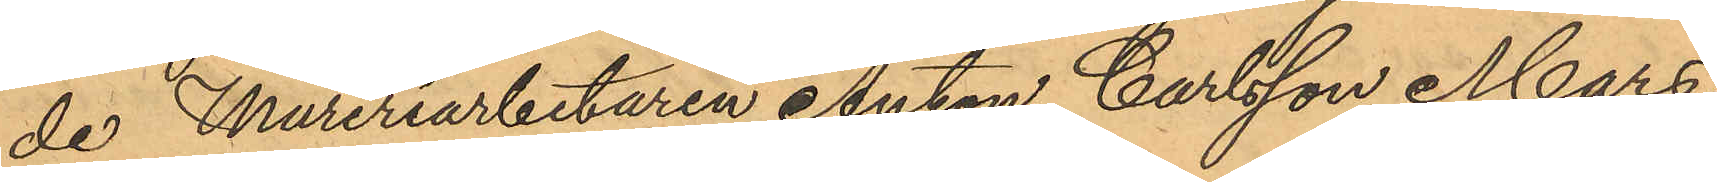de Mureriarbetaren Anton Carlsson Mars,
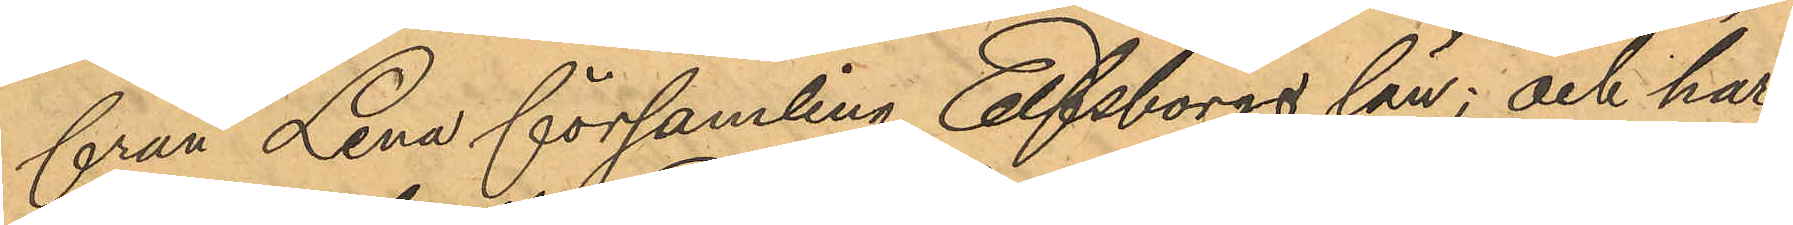från Lena församling Elfsborgs län; och har
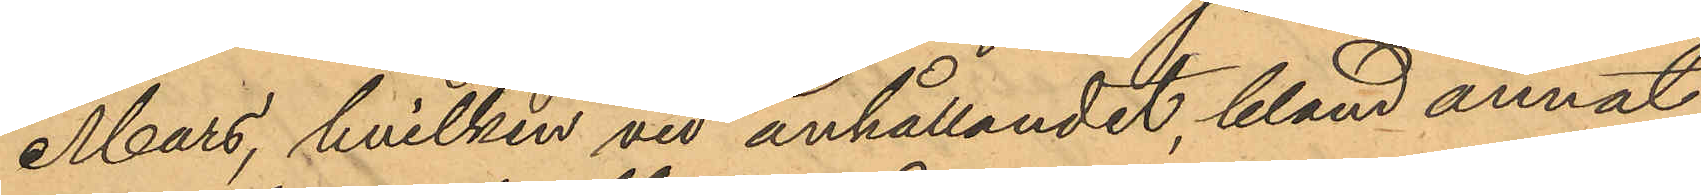Mars, hvilken vid anhållandet, bland annat
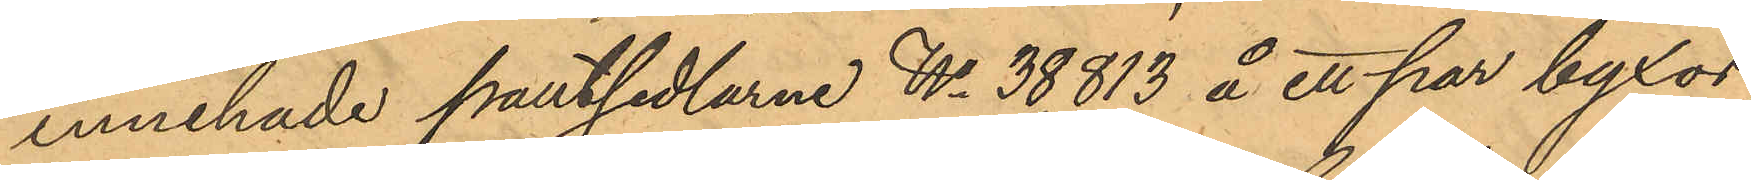innehade pantsedlarne No 38,813 å ett par byxor,
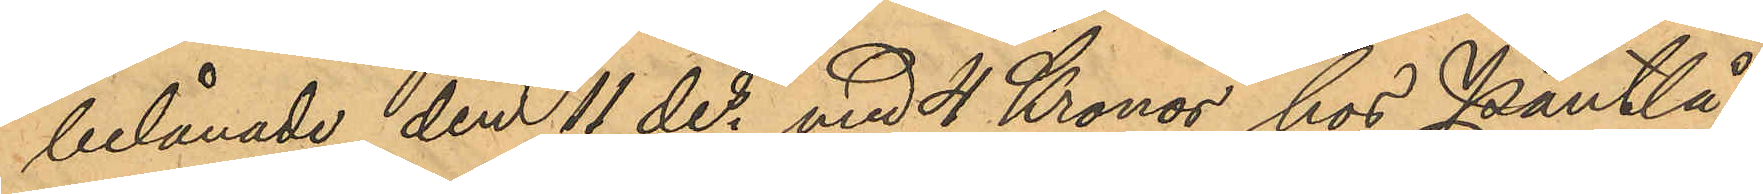belånade den 11 des med 4 Kronor hos Pantlå¬
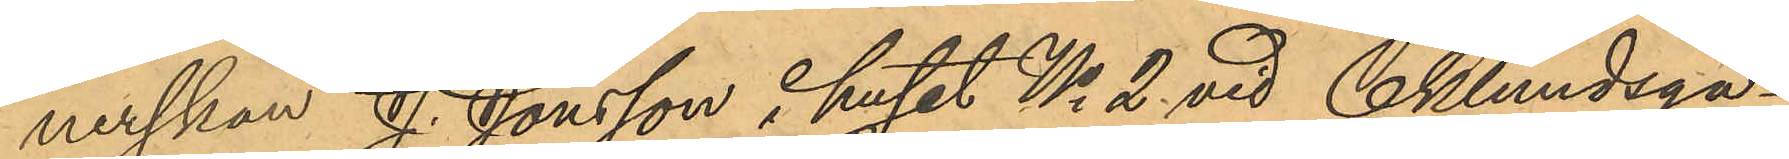nerskan J. Jonsson i huset No 2 vid Eklundsga¬
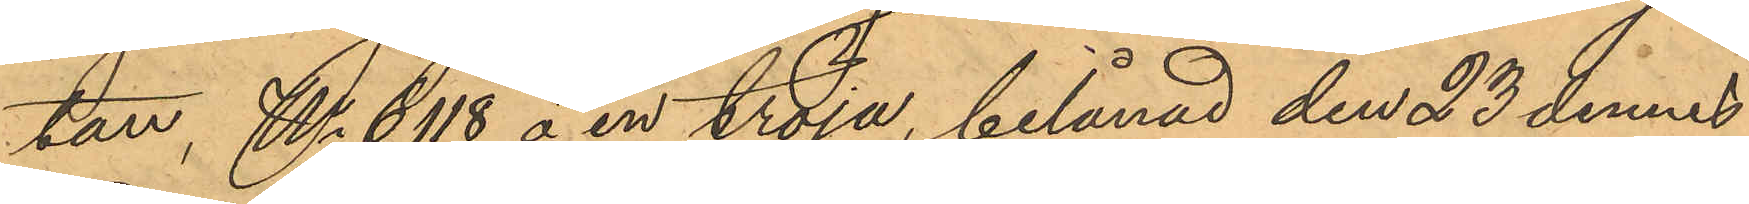tan, No 6118 å en tröja, belånad den 23 dennes
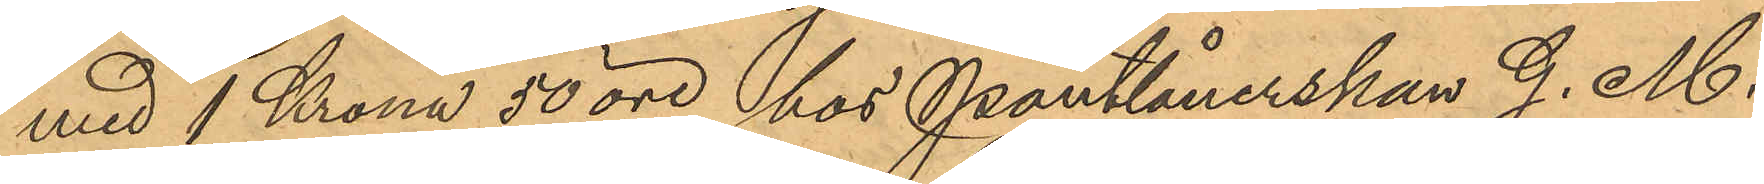med 1 Krona 50 öre hos Pantlånerskan G. M.
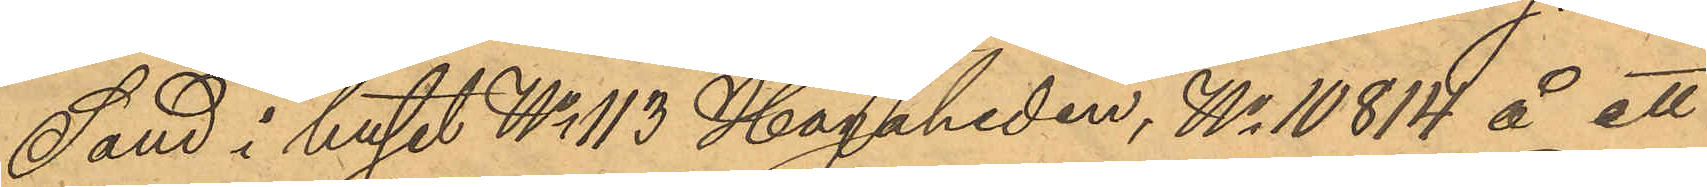Sand i huset No 113 Hagaheden, No 10814 å ett
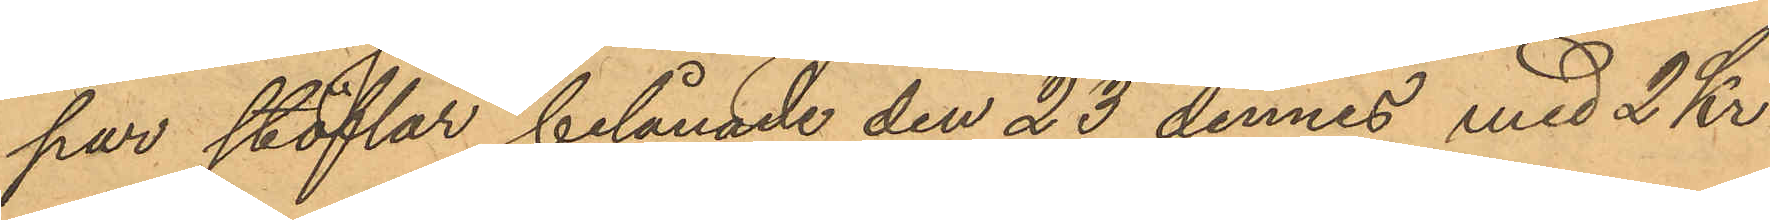par stöflar, belånade den 23 dennes med 2 Kr.
